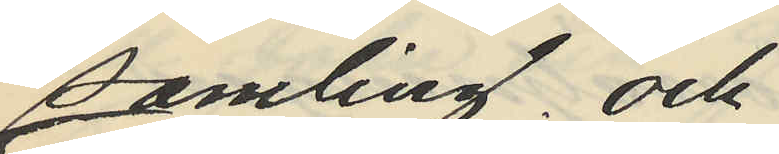samling; och
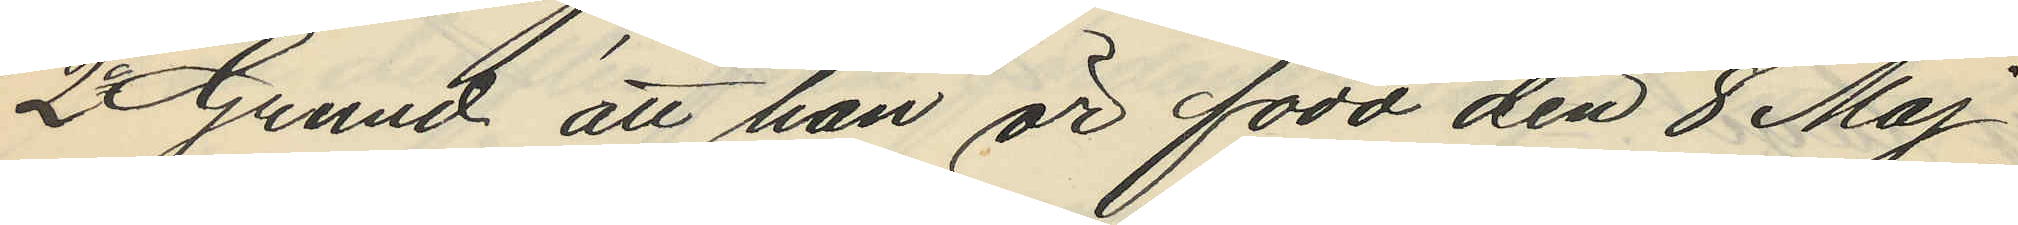2o Grund att han är född den 8 Maj
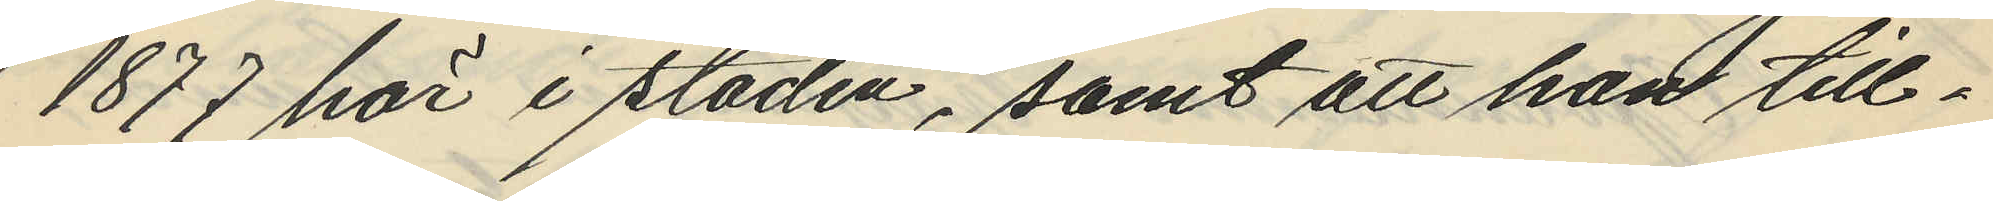1877 här i staden, samt att han till¬
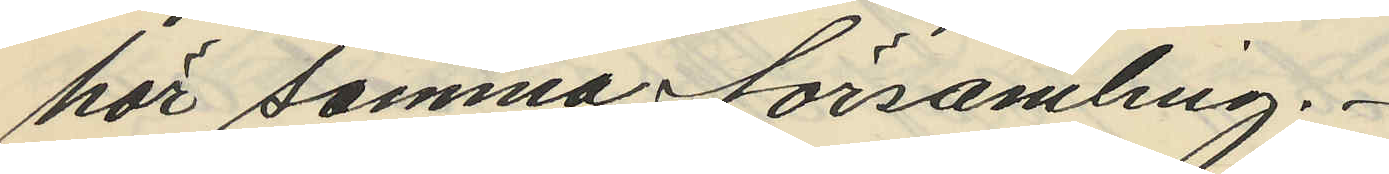hör samma församling.
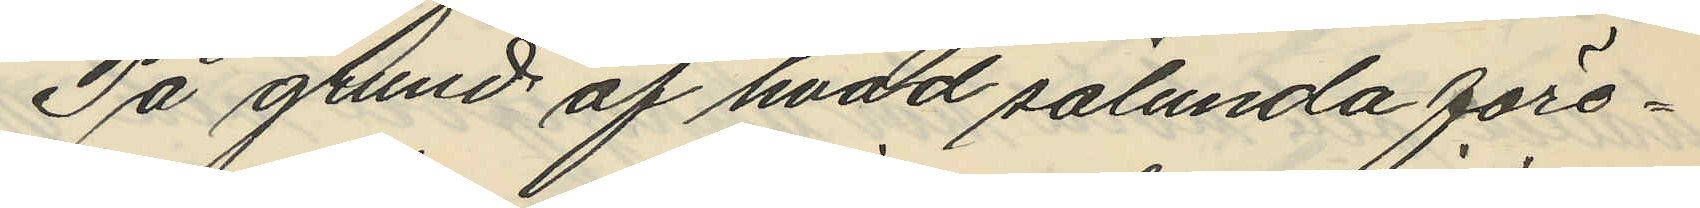På grund af hvad sålunda före¬
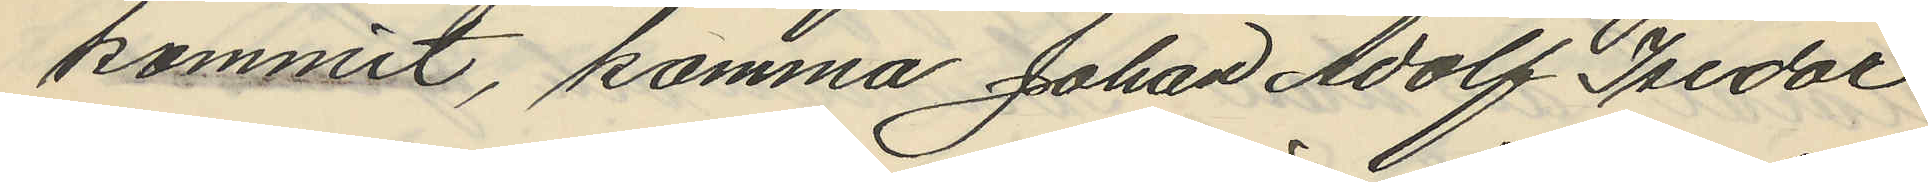kommit, komma Johan Adolf Isidor
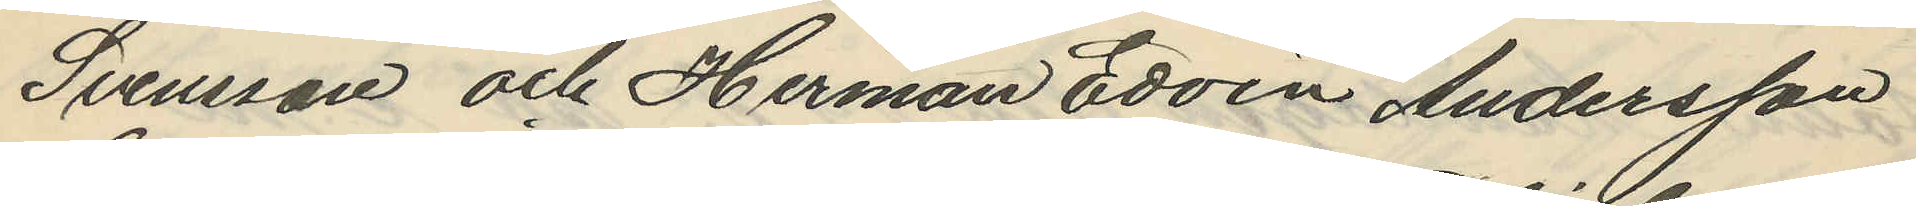Svensson och Herman Edvin Andersson
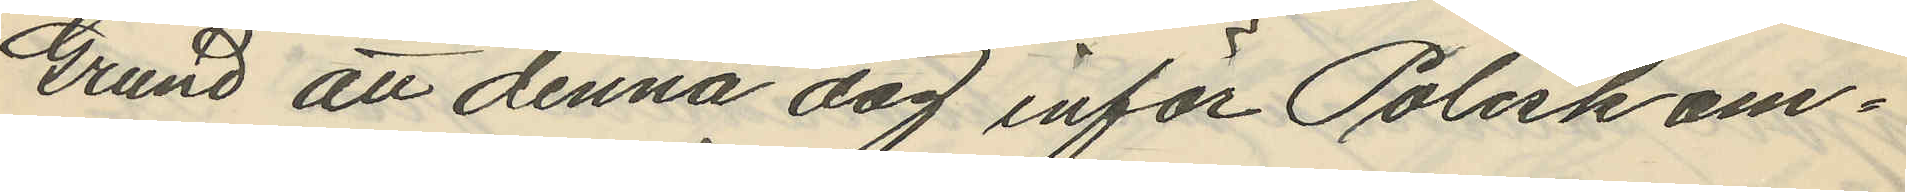Grund att denna dag inför Poliskam¬
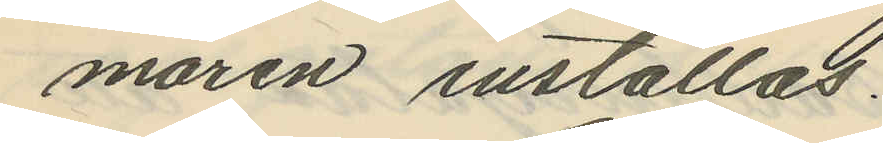maren inställas.
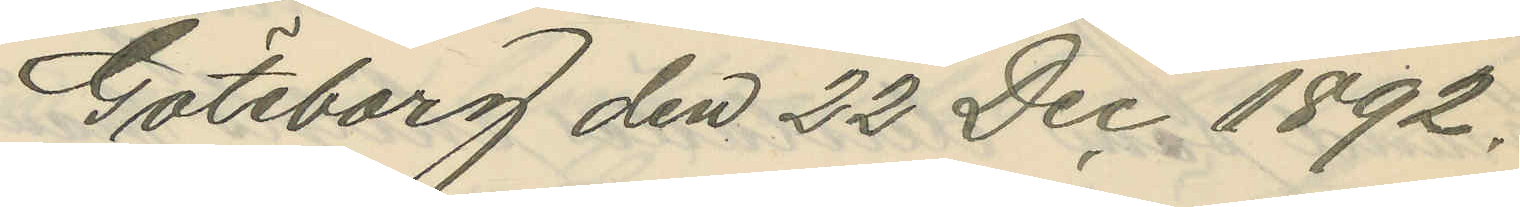Göteborg den 22 Dec. 1892.
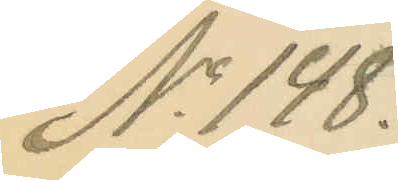No 148.
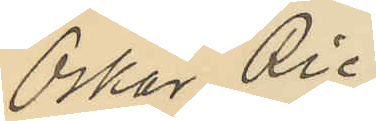Oskar Ric¬
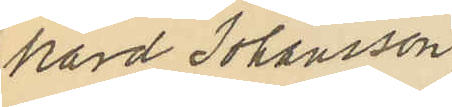hard Johansson,
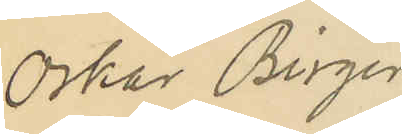Oskar Birger
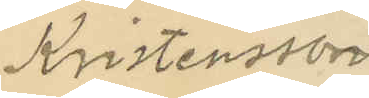Kristensson
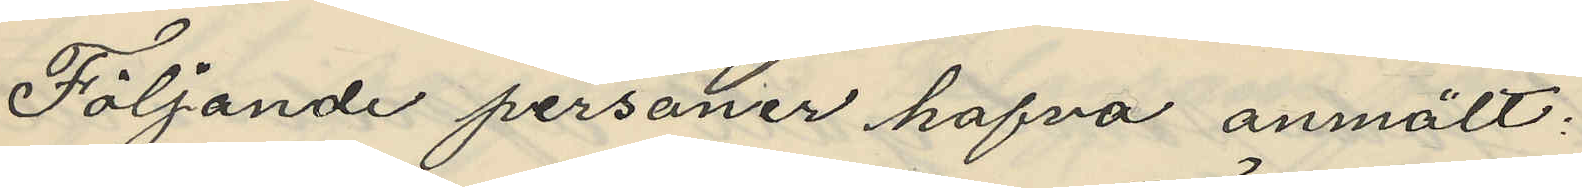Följande personer hafva anmält:
